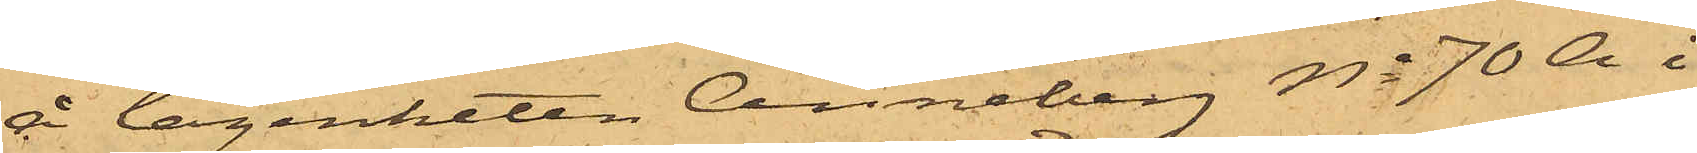å lägenheten Anneberg No 70 A i
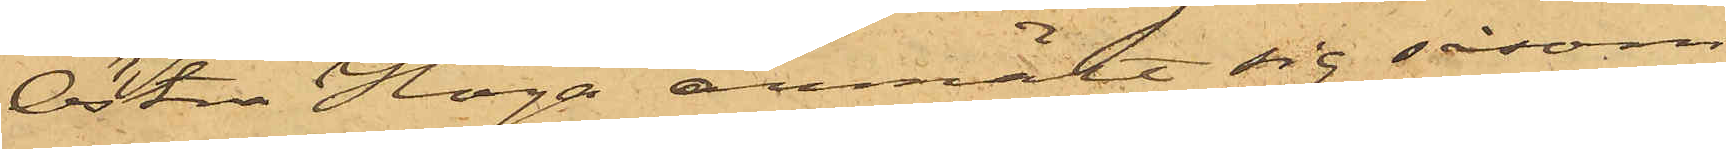Östra Haga anmält sig såsom
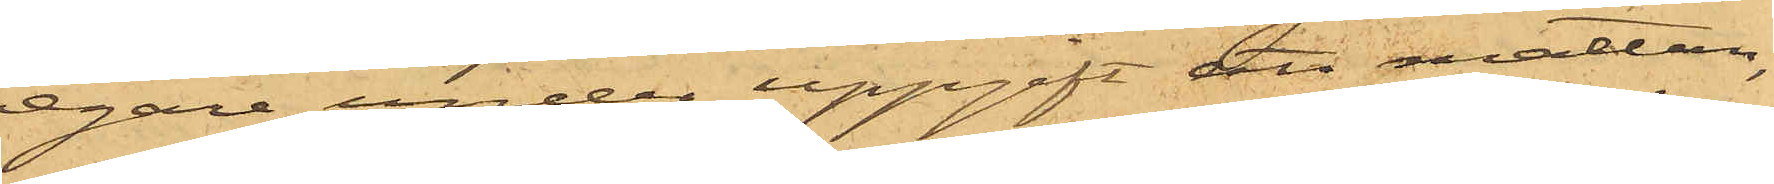egare under uppgift att mattan,
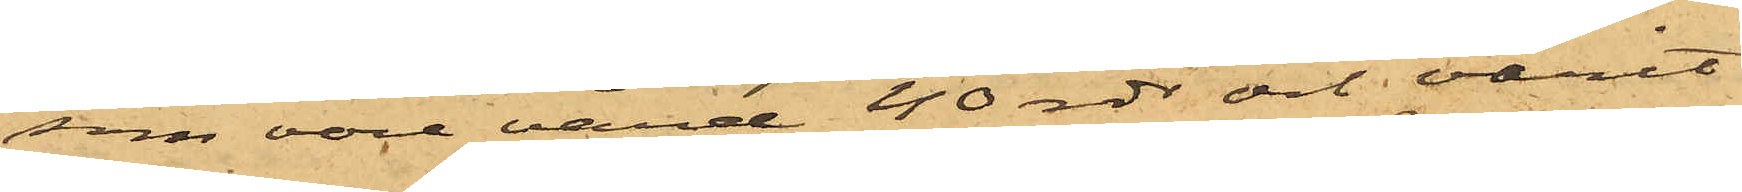som vore värd 40 rdr och varit
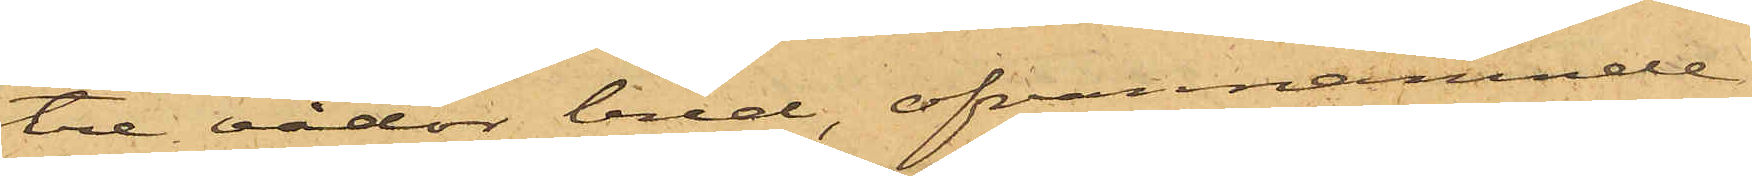tre vådor bred, ofvannämnde
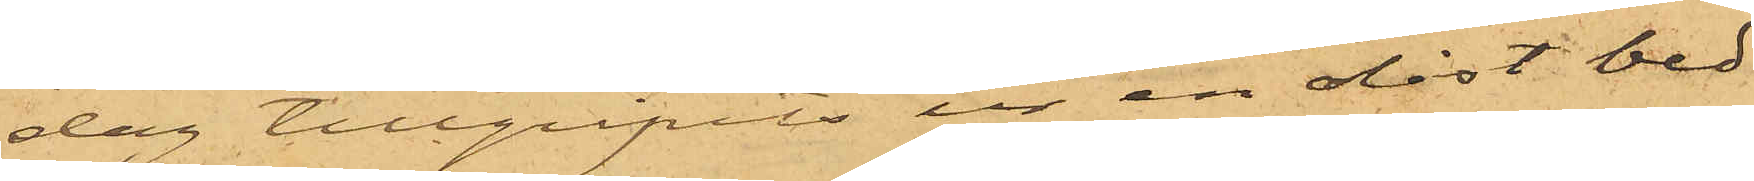dag tillgripits ur en olåst ved¬
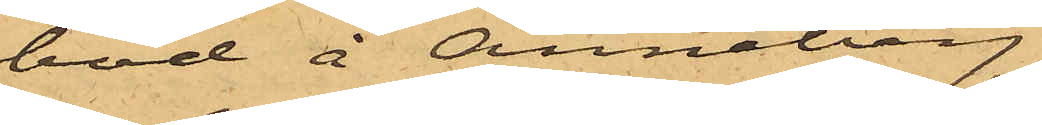bod å Anneberg.
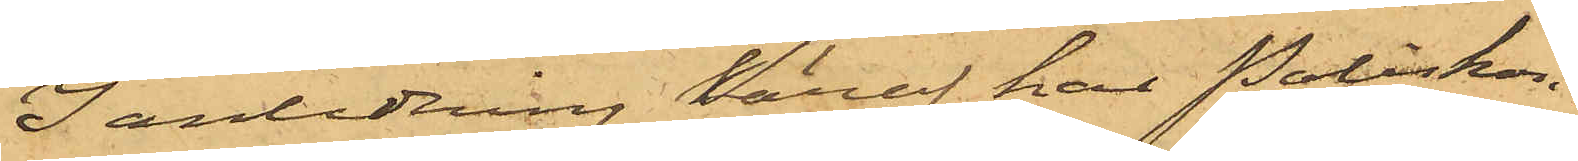I anledning häraf har Poliskon¬
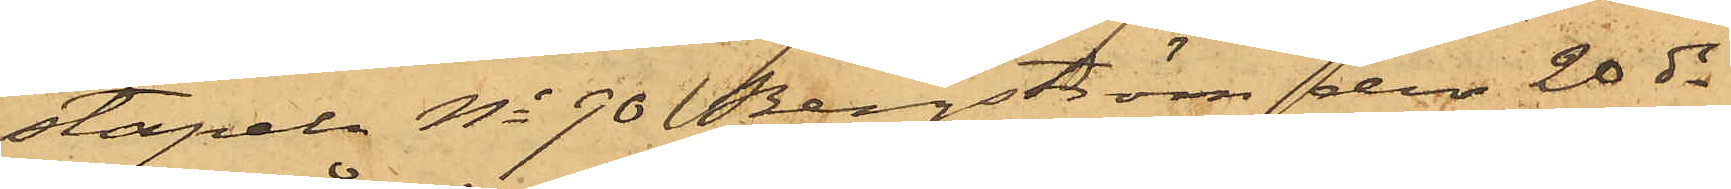stapeln No 90 Bergström den 28 ds
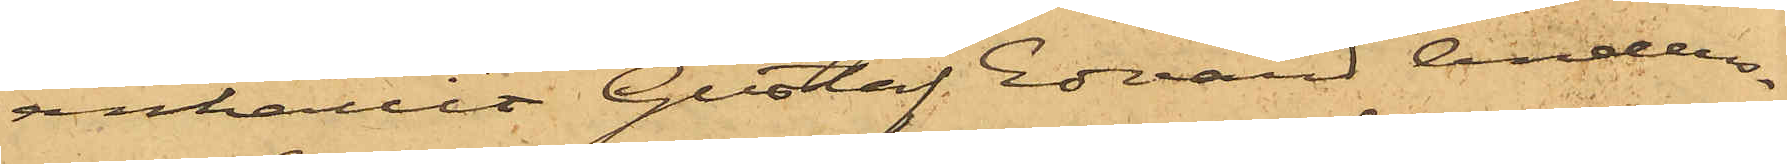anhållit Gustaf Edvard Anders¬
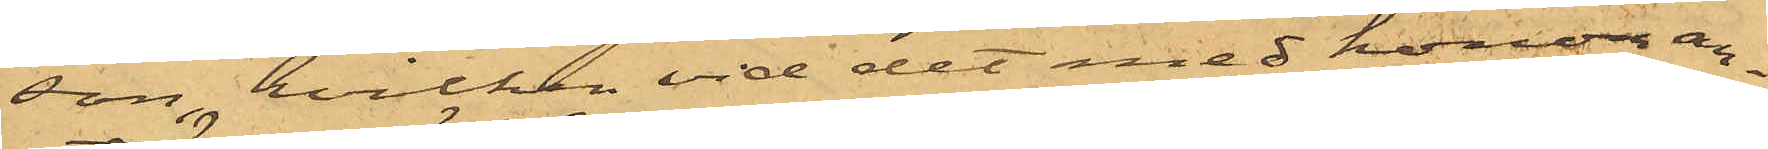son, hvilken vid det med honom an¬
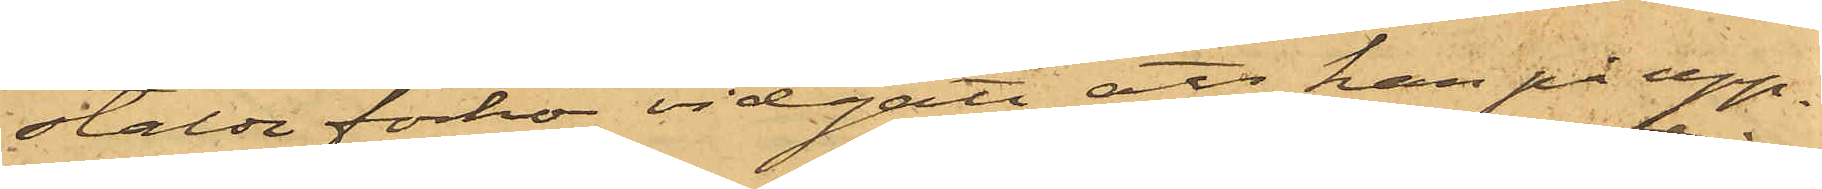stälde förhör vidgått att han på upp¬
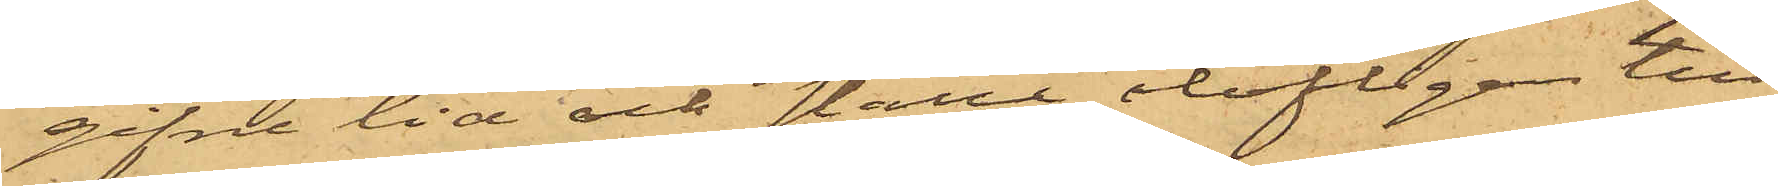gifne tid och ställe olofligen till¬
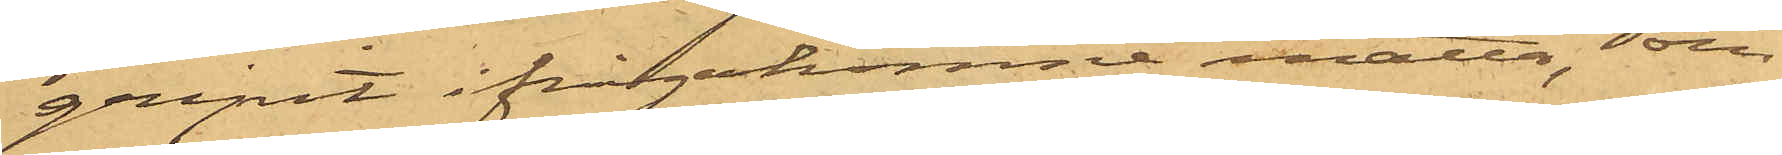gripit ifrågakomne matta, som
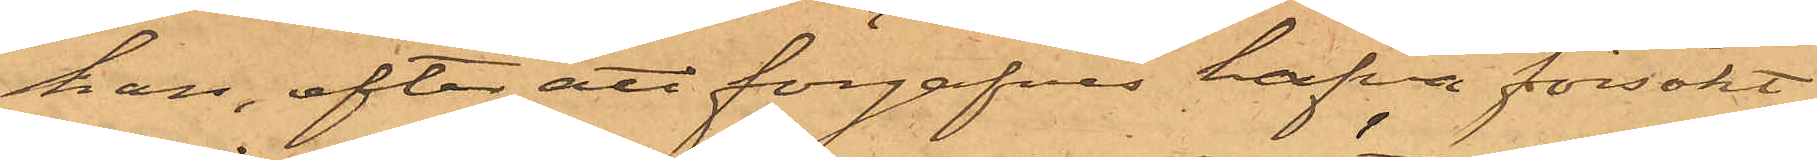han, efter att förgäfves hafva försökt
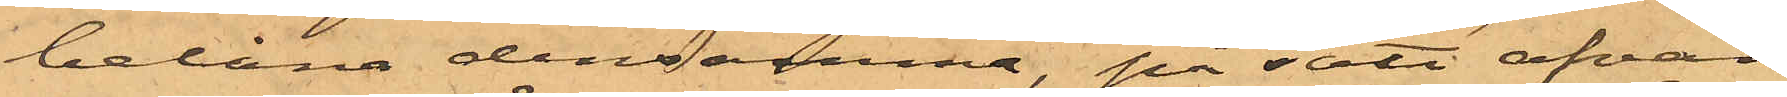belåna densamma, på sätt ofvan
